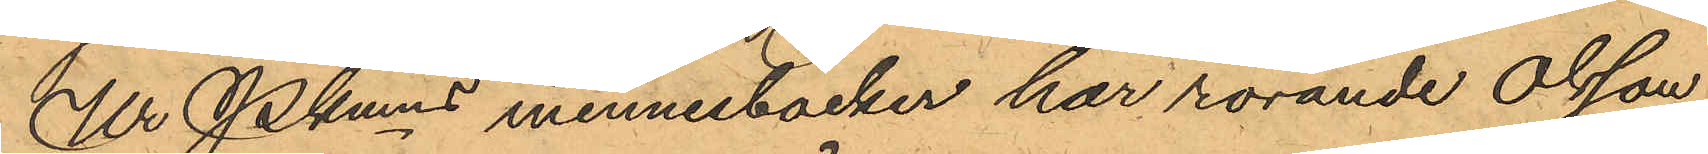Ur Pkmns minnesböcker har rörande Olsson
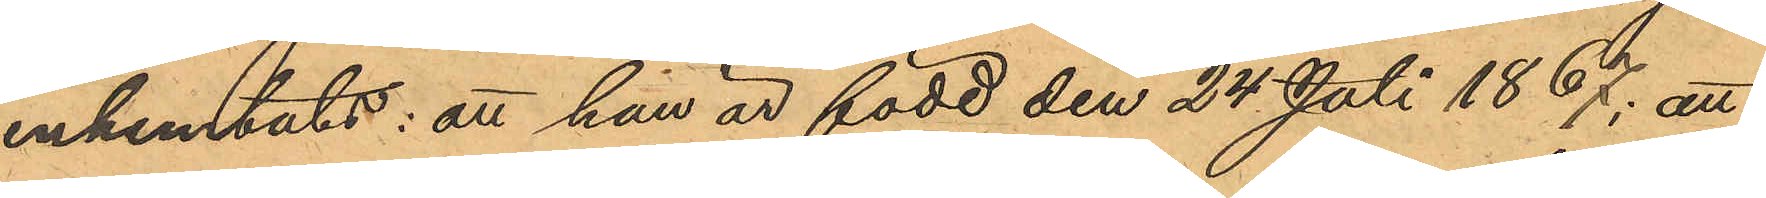inhemtats: att han är född den 24 Juli 1867; att
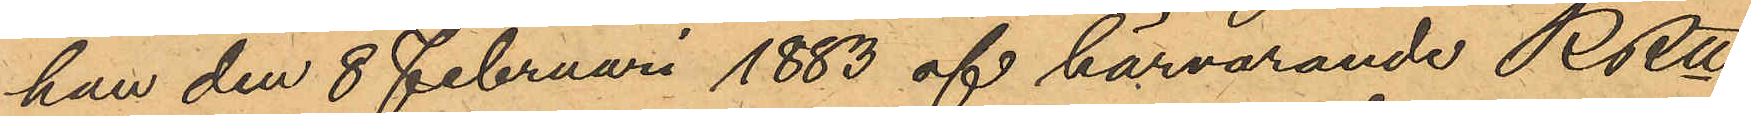han den 8 Februari 1883 af härvarande RRtt
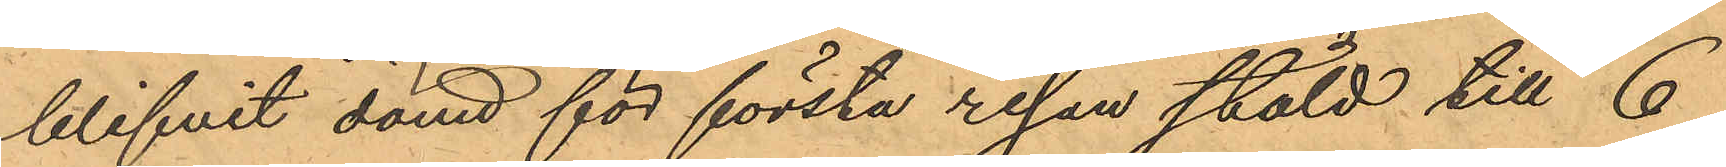blifvit dömd för första resan stöld till 6
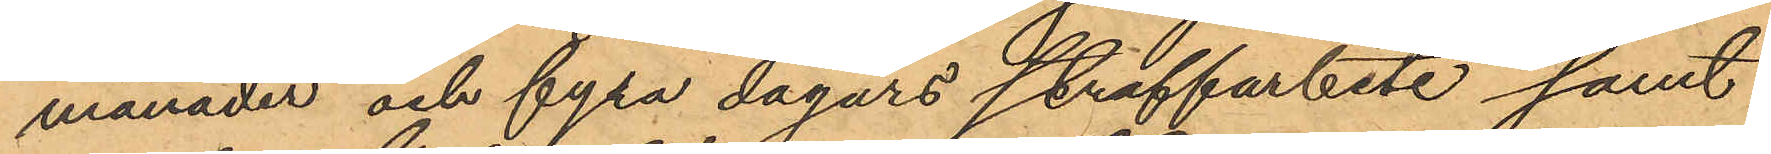månader och fyra dagars straffarbete samt
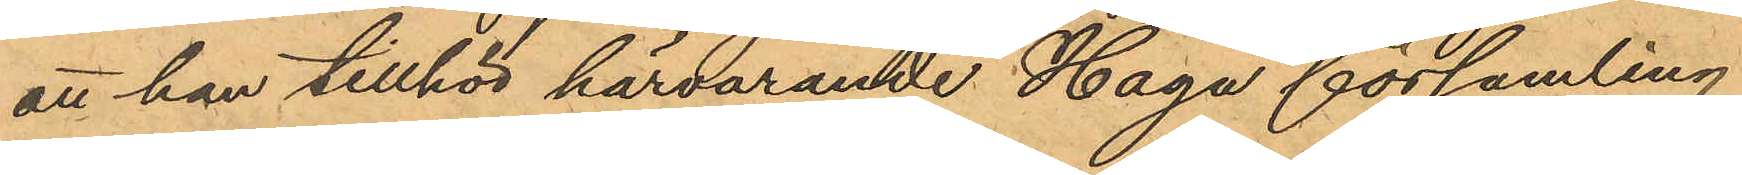att han tillhör härvarande Haga församling.
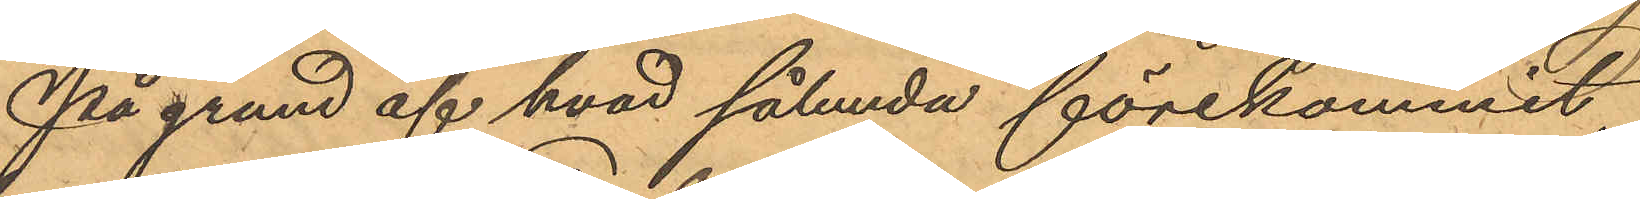På grund af hvad sålunda förekommit,
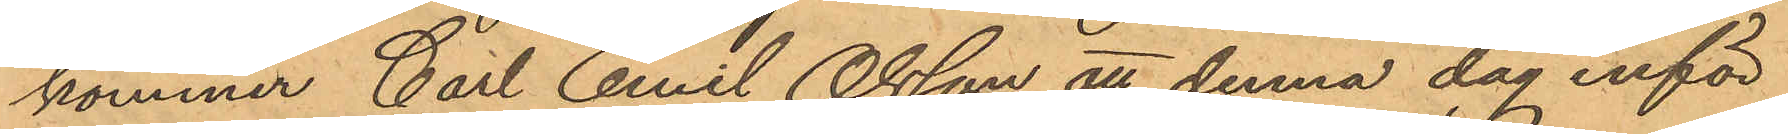kommer Carl Emil Olsson att denna dag inför
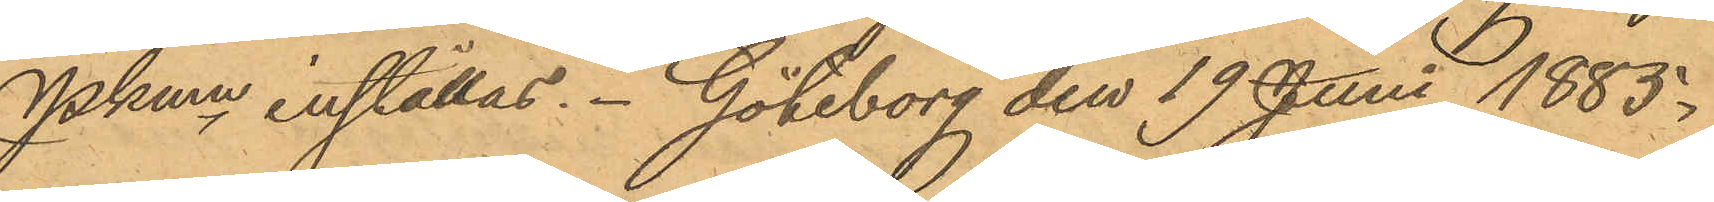Pkmn inställas. Göteborg den 19 Juni 1885.
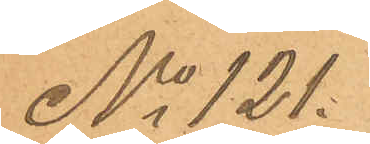No 121.
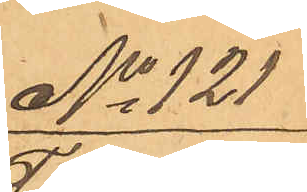No 121
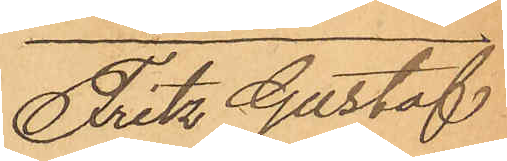Fritz Gustaf
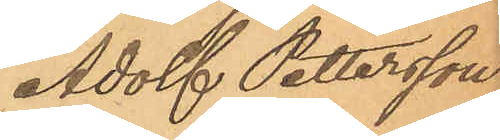Adolf Pettersson
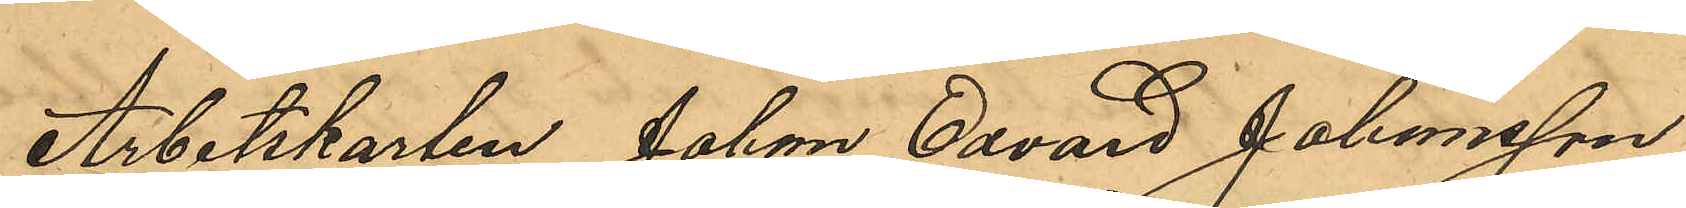Arbetskarlen Johan Edvard Johansson,
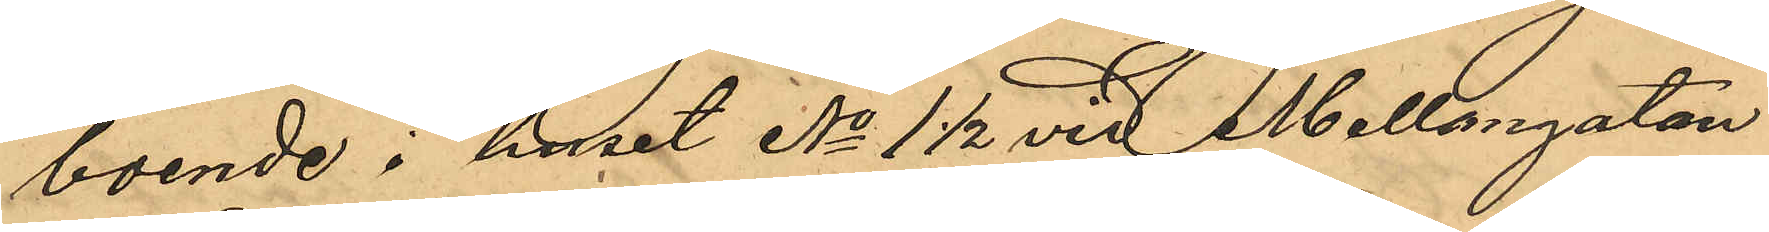boende i huset No 1 1/2 vid Mellangatan
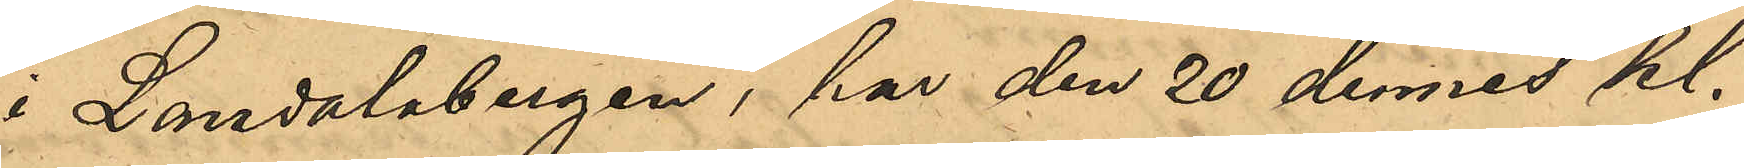i Landalabergen, har den 20 dennes kl.
